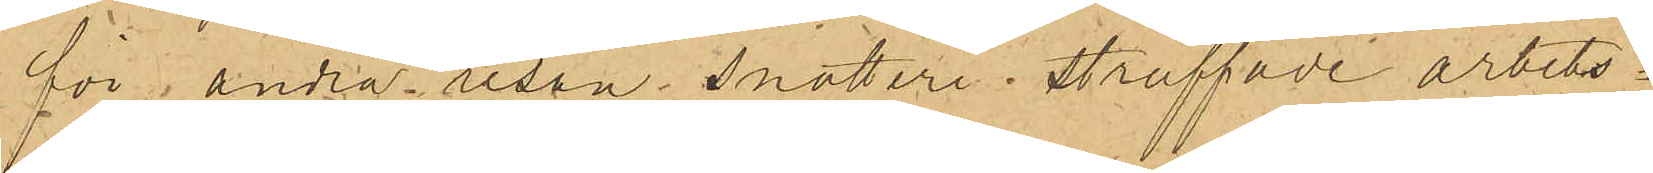för andra resan snatteri  straffade arbets¬
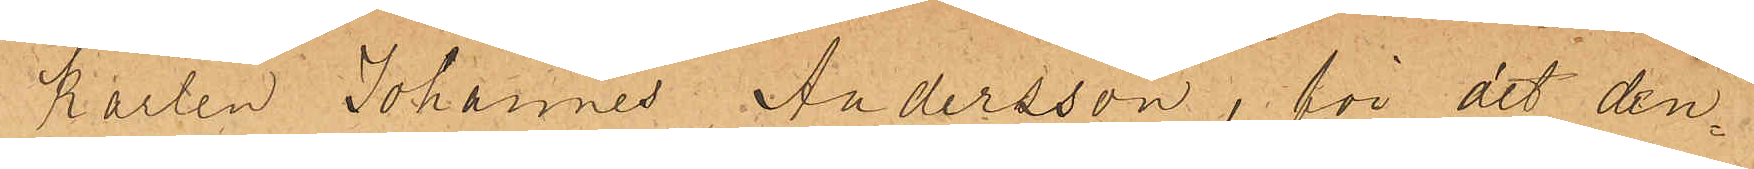karlen Johannes Andersson, för det den¬
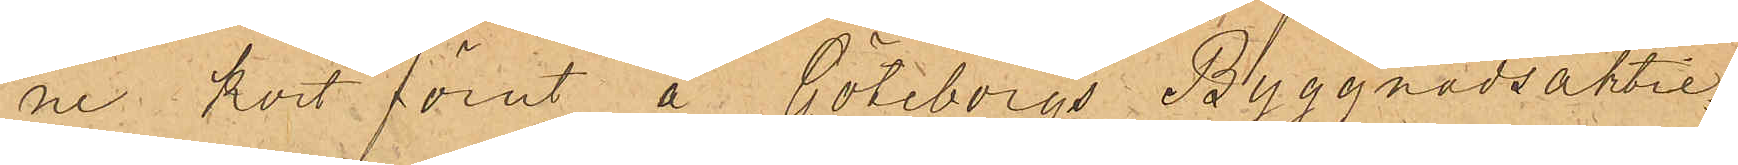ne kort förut å Göteborgs Byggnadsaktie¬
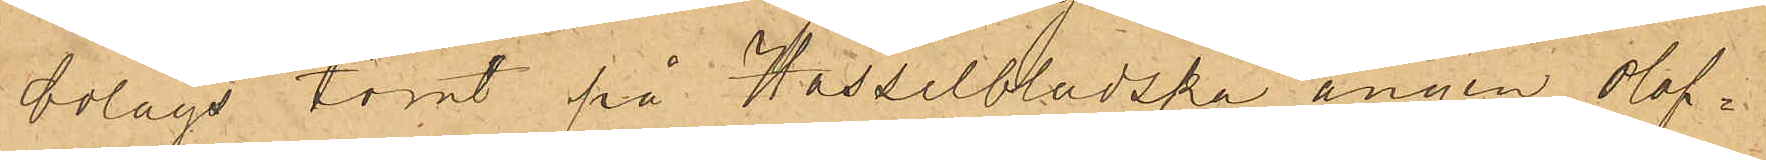bolags tomt på Hasselbladska ängen olof¬ 
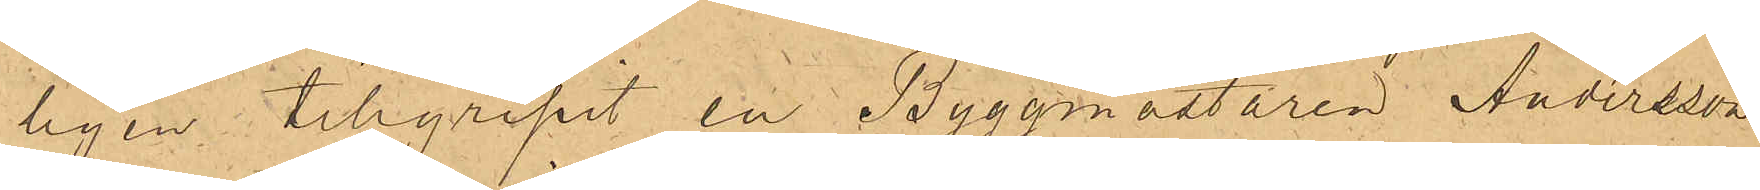ligen tillgripit en Byggmästaren Andersson
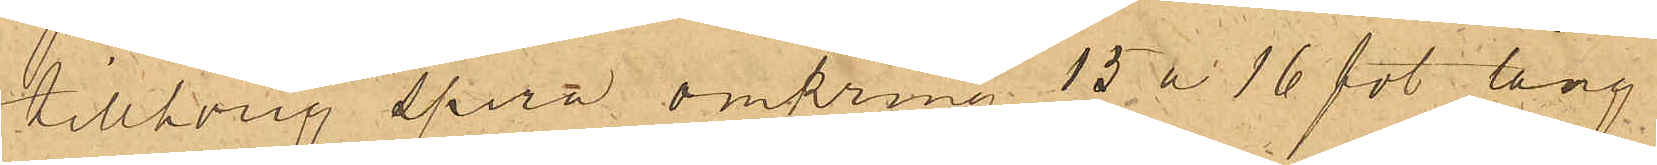tillhörig spira omkring 15 à16 fot lång
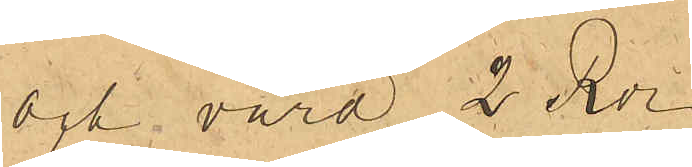och värd 2 Rdr.
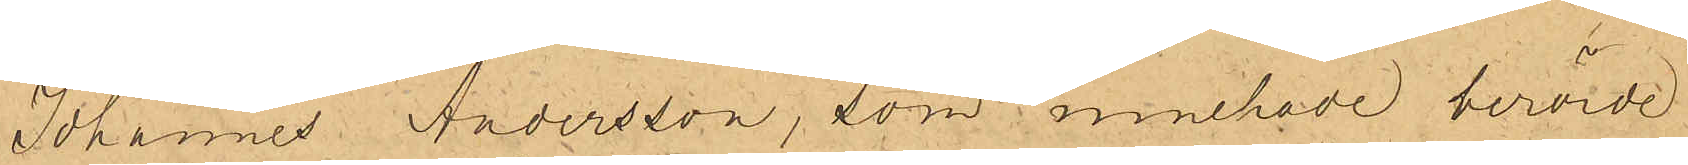Johannes Andersson, som innehade berörde
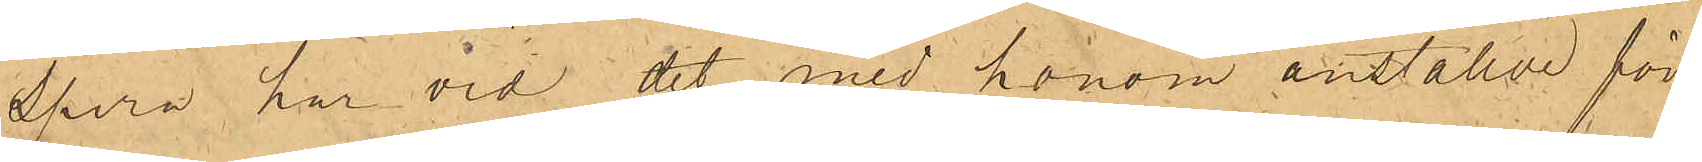spira, har vid det med honom anställde för¬
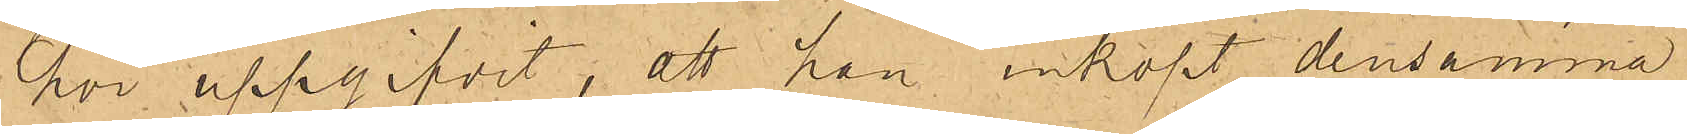hör uppgifvit, att han inköpt densamma
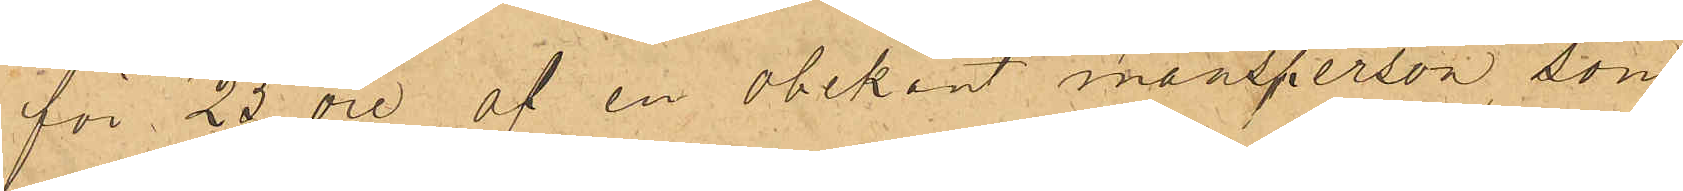för 25 öre af en obekant mansperson, som
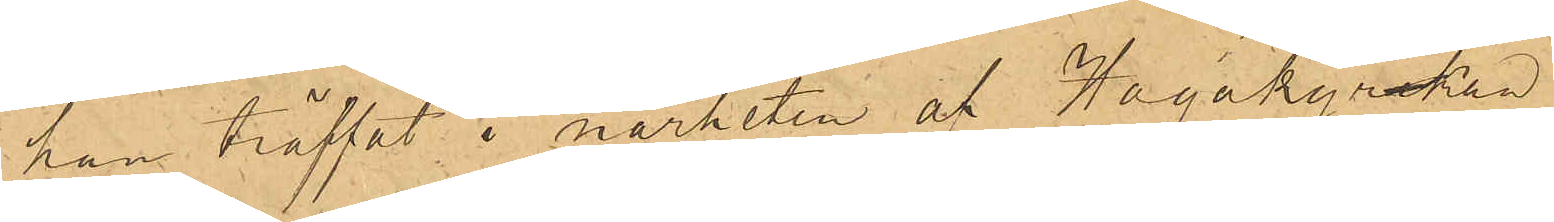han träffat i närheten af  Hagakyrkan.
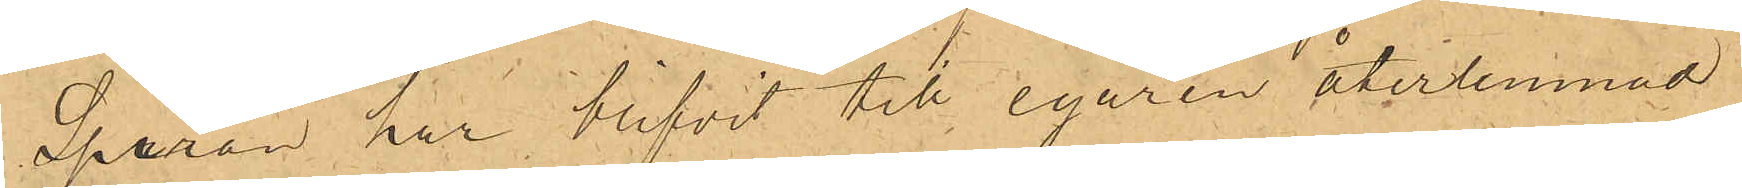Spiran har blifvit till egaren återlemnad.
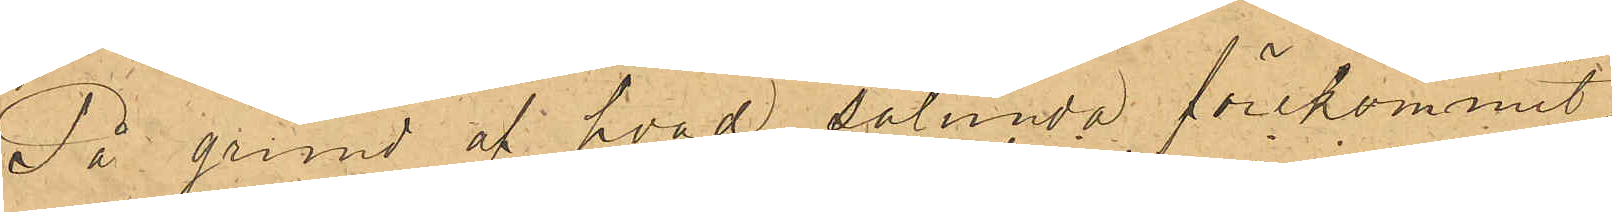På grund af hvad sålunda förekommit,
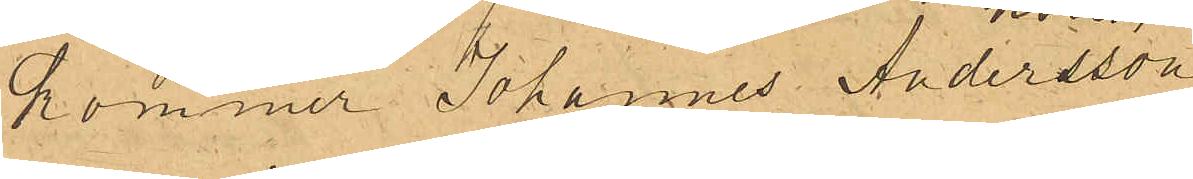kommer Johannes Andersson
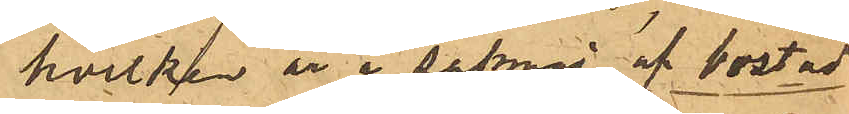hvilken är i saknad af bostad
